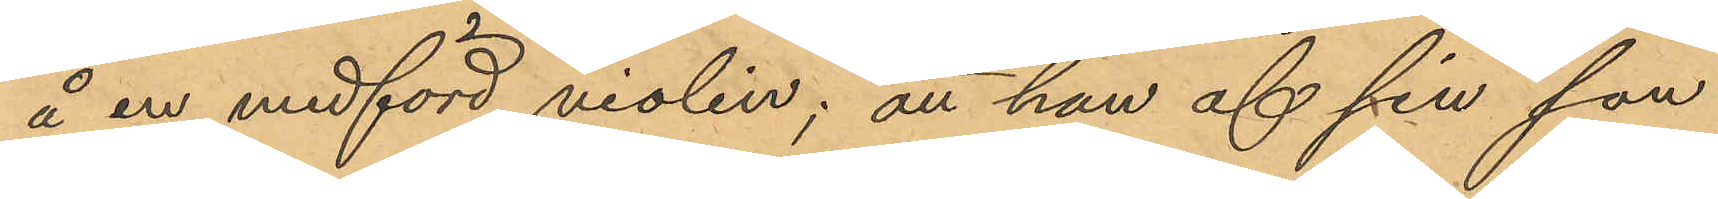å en medförd violin; att han af sin son
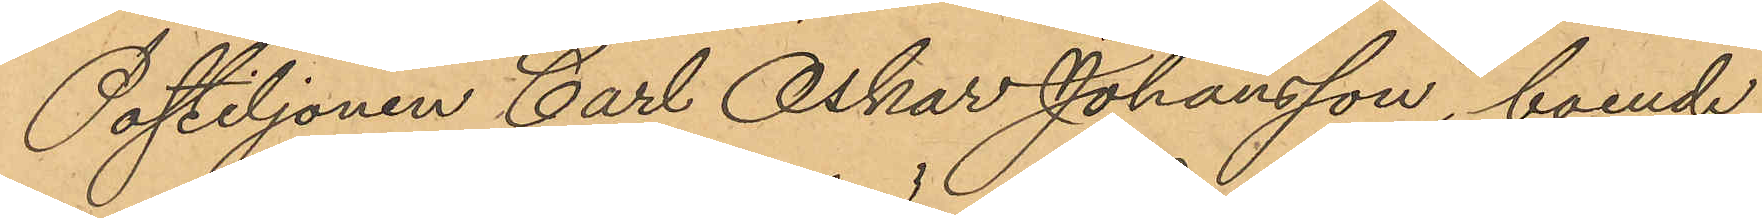Postiljonen Carl Oskar Johansson, boende
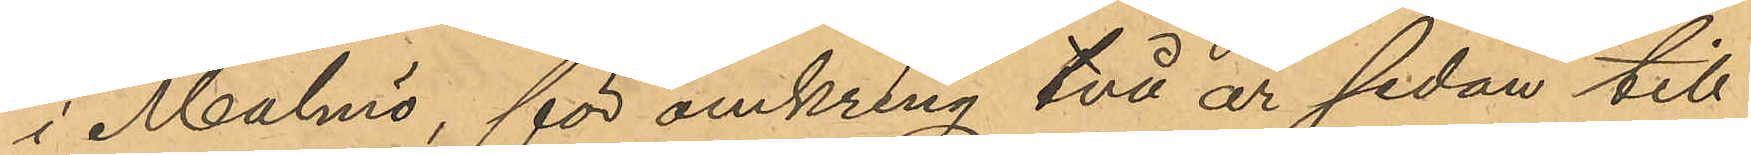i Malmö, för omkring två år sedan till
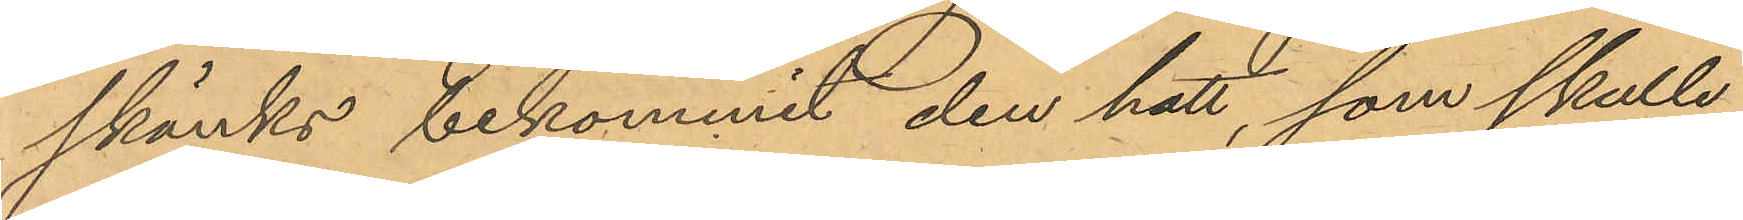skänks bekommit den hatt, som skulle
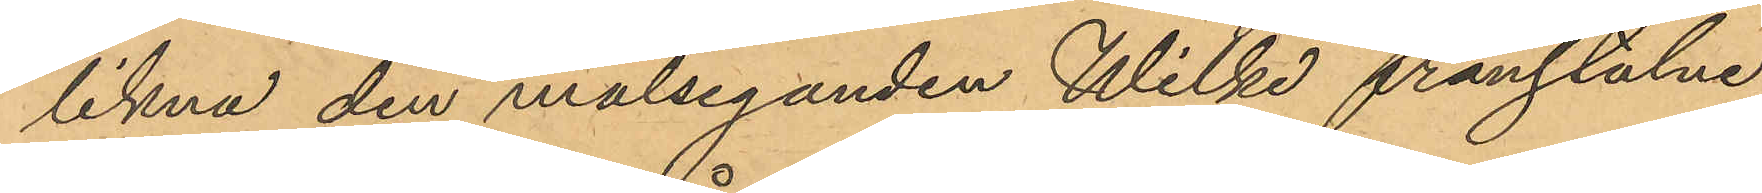likna den målseganden Wilke frånstulne
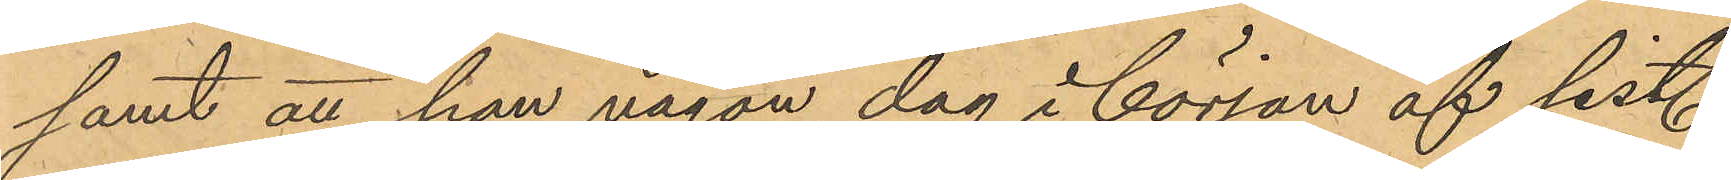samt att han någon dag i början af sistl.
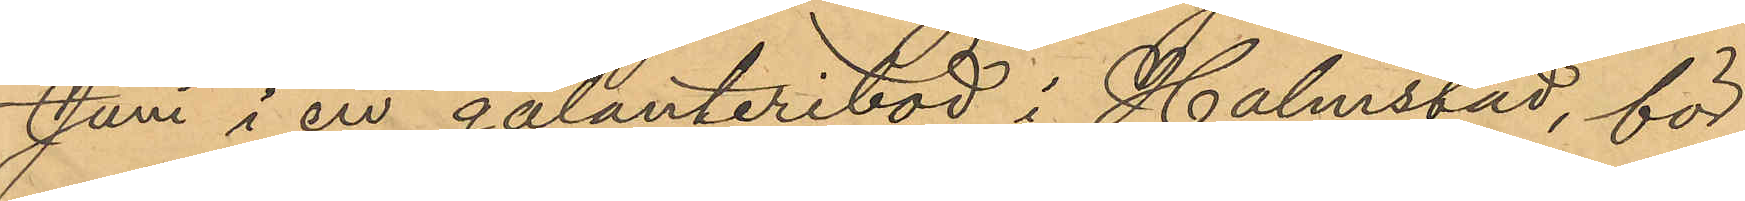Juni i en galanteribod i Halmstad, för
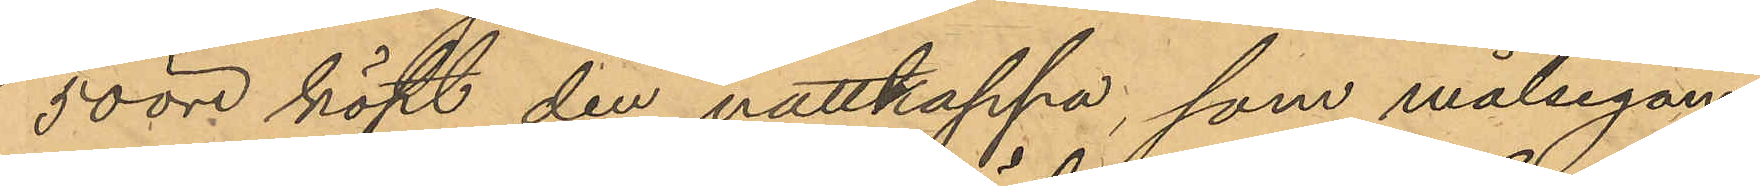50 öre köpt den nattkappa, som målsegan¬
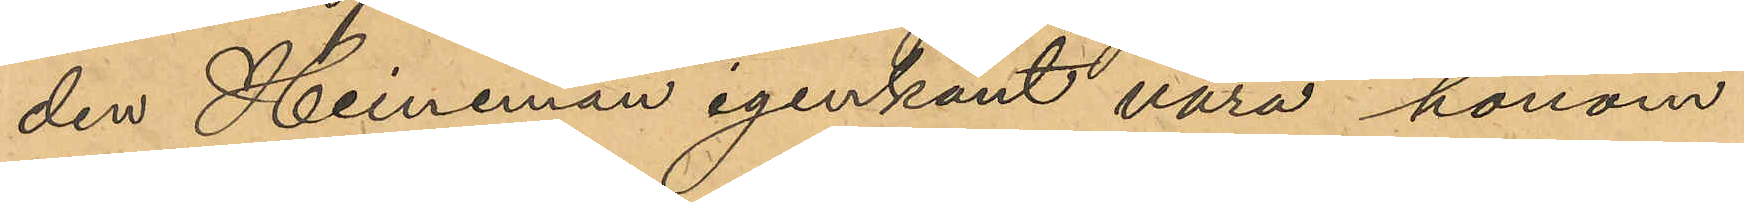den Heineman igenkänt vara honom
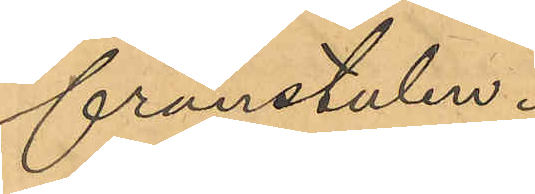frånstulen.
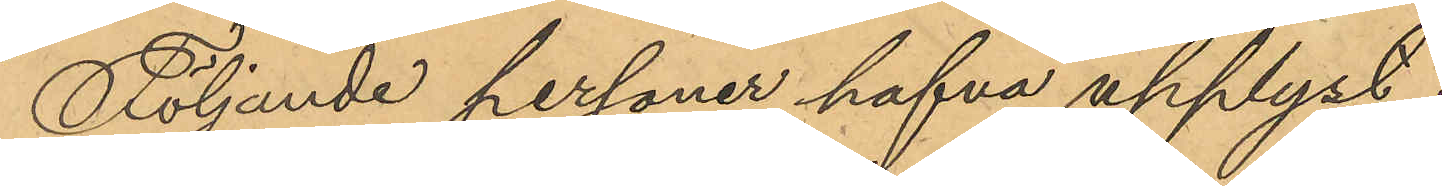Följande personer hafva upplyst:
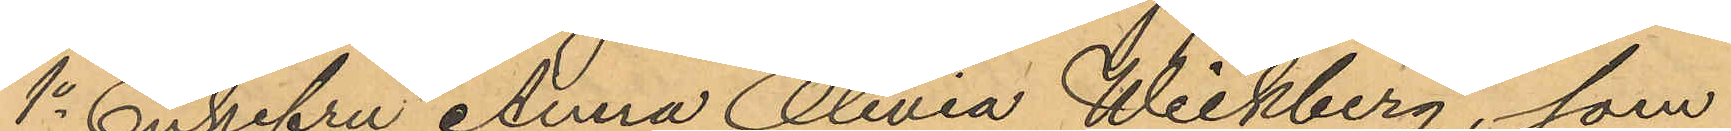1o Enkefru Anna Olivia Wickberg, som
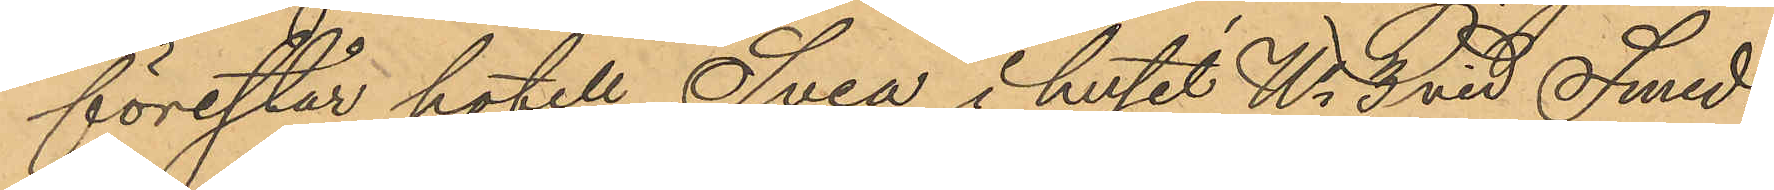förestår hotell Svea i huset No 8 vid Smed¬
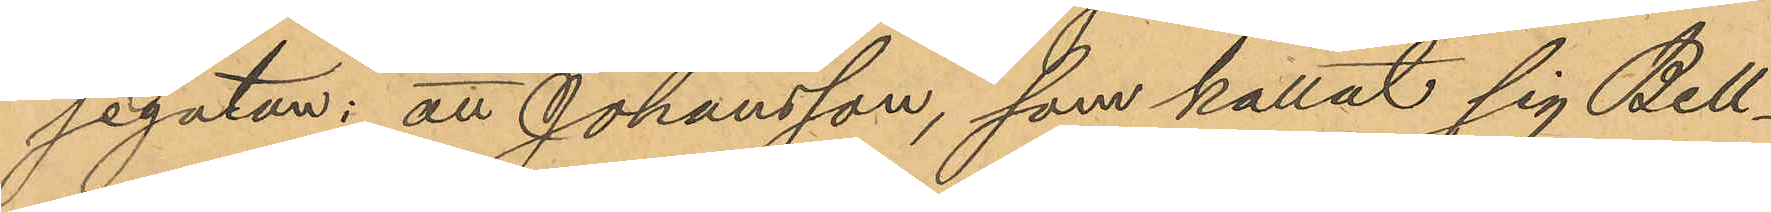jegatan: att Johansson, som kallat sig Bell¬
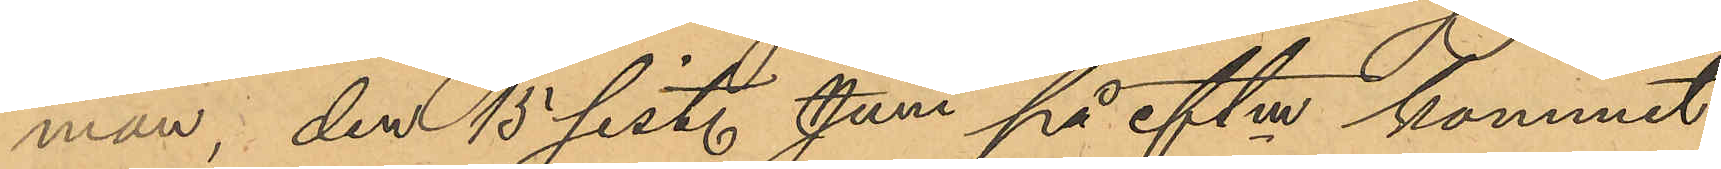man, den 15 sistl. Juni på eftm kommit
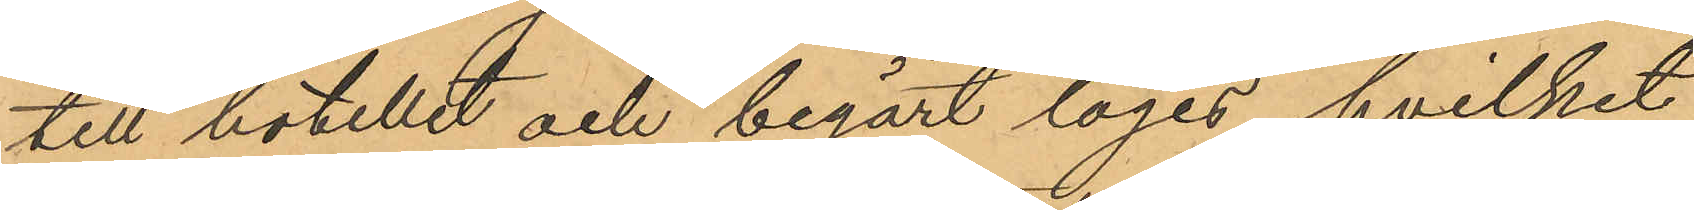till hotellet och begärt logis, hvilket
